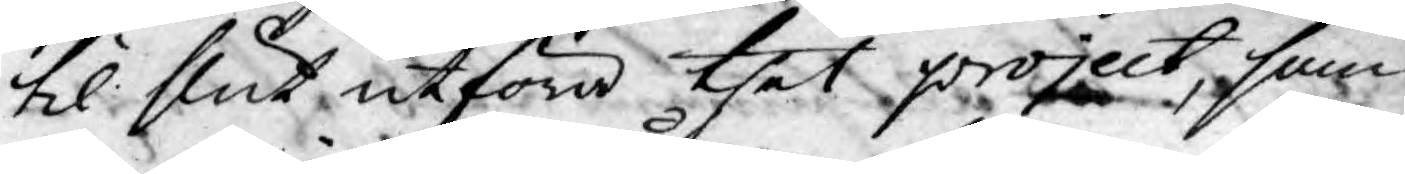til slut utföra thet project, som
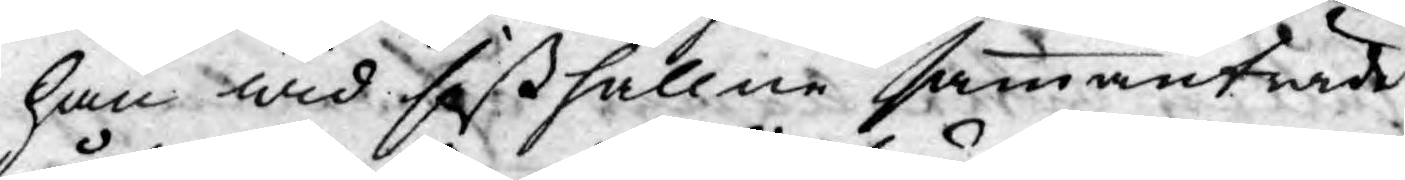han wid sißthållne sammanträde
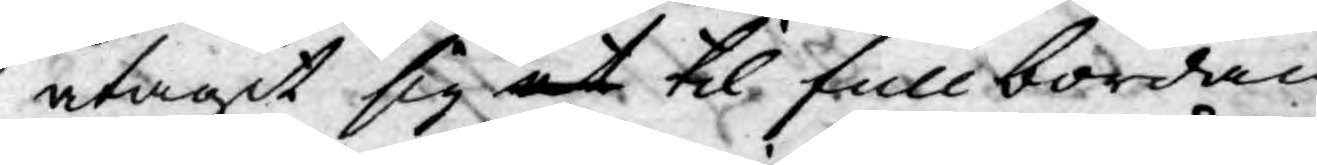åtagit sig at til fullbordan
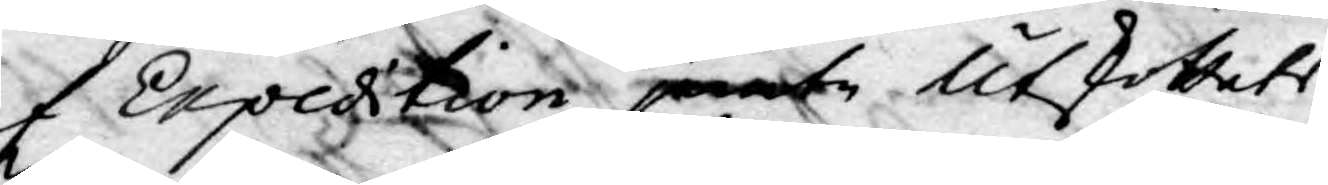af Expedtion jemte Utskottets
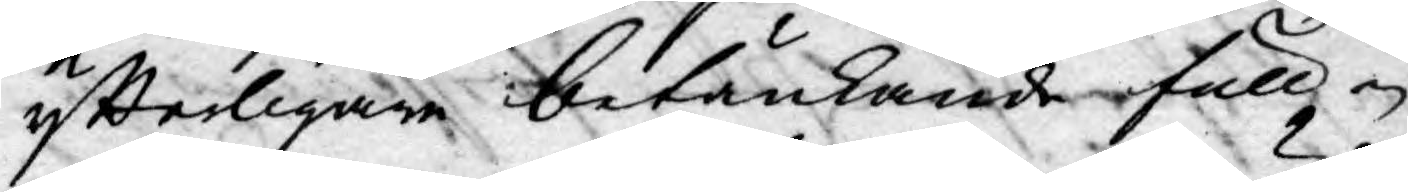ytterligare betänkande full¬
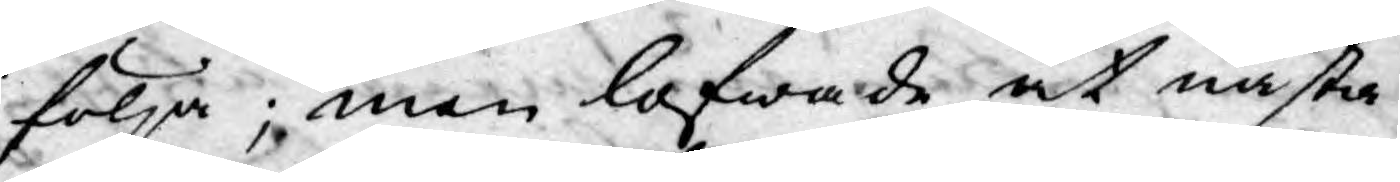följa; men lofwade at nästa
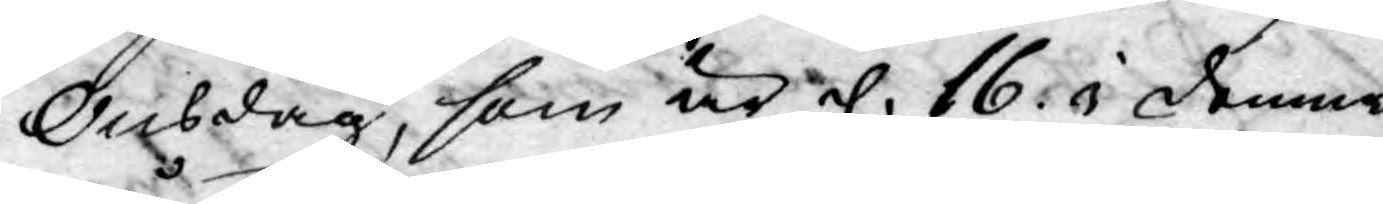Onsdag, som är d. 16. i denna
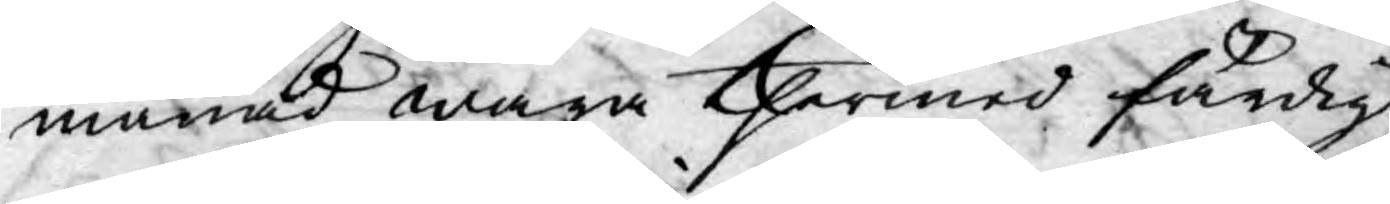månad wara thermed färdig.
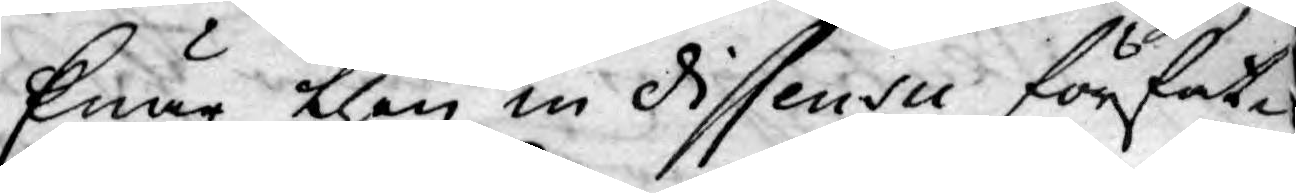Enär then in dissensu förfat¬
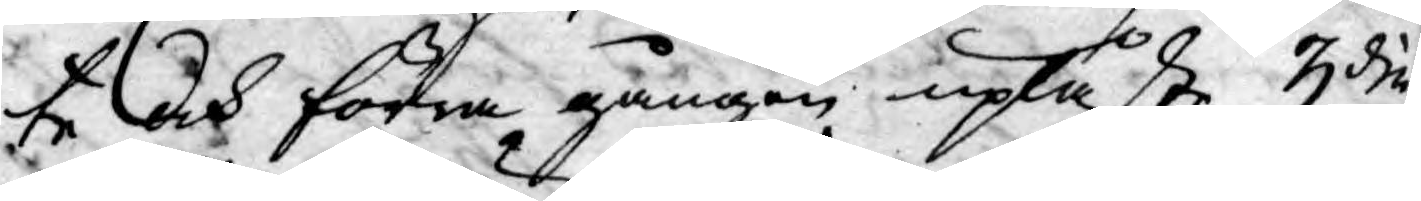te och förra gången upläßte 3die
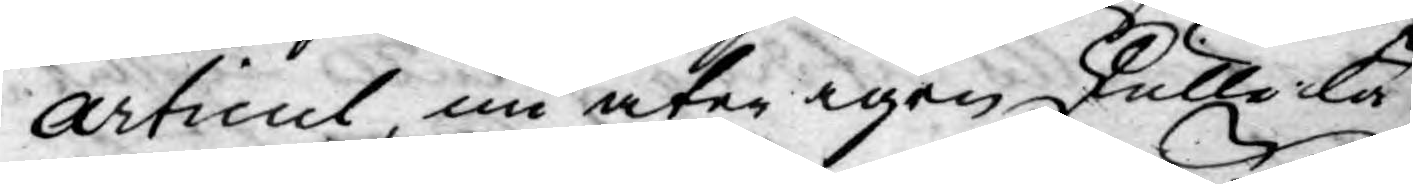Articul, nu åter igen skulle lå¬
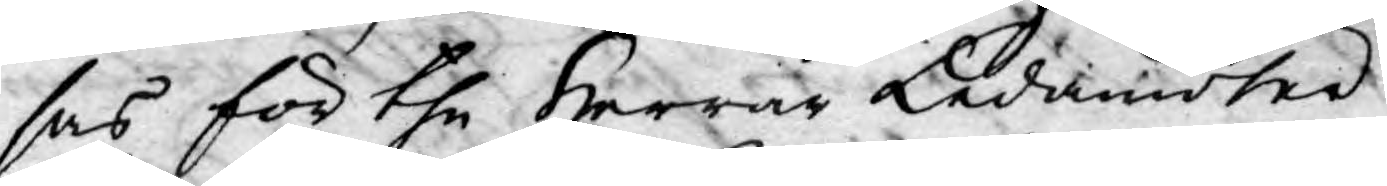sas för the Herrar Ledamöter
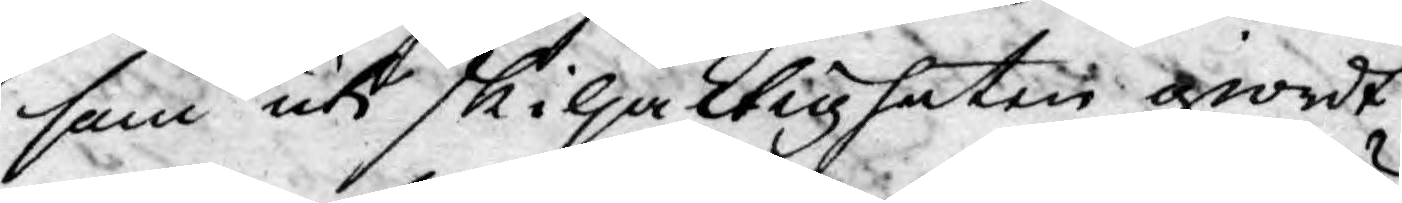som uti skiljaktigheten giordt
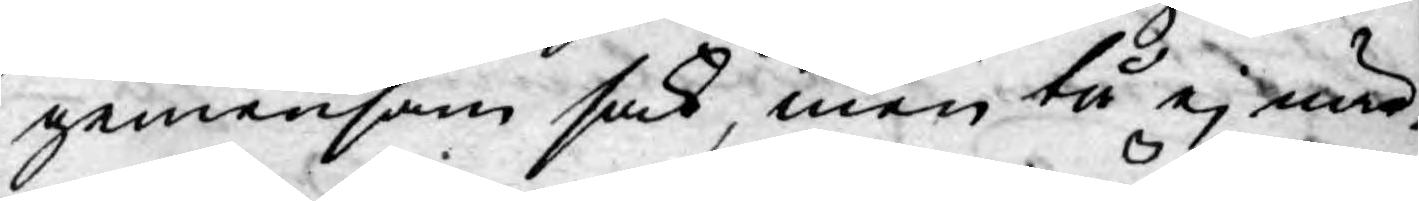gemensam sak, men tå ej när¬
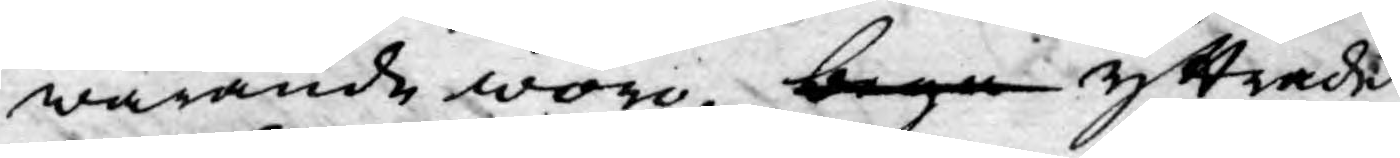warande woro, bega yttrade
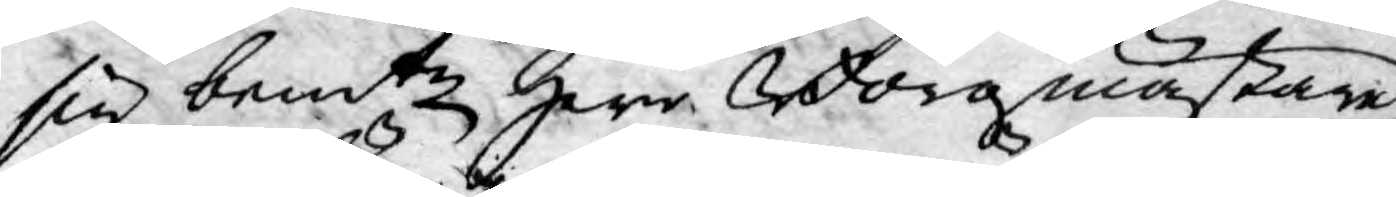sig bemte Herr Borgmästare
